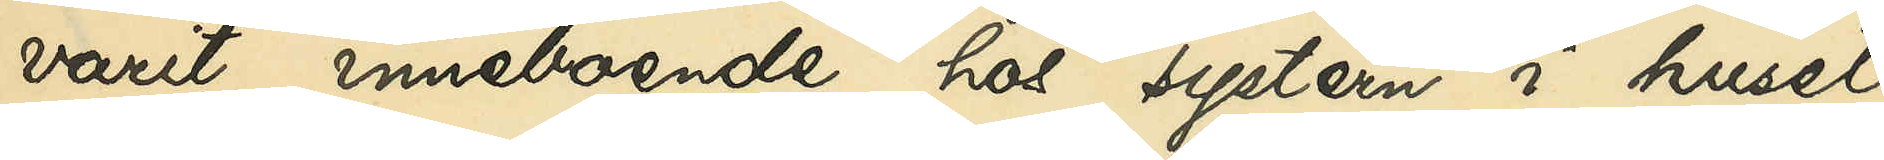varit inneboende hos systern i huset
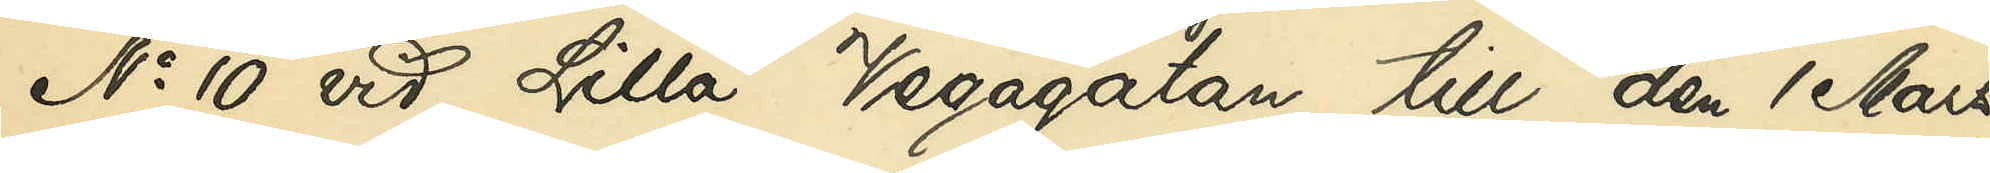No 10 vid LIlla Vegagatan till den 1 Mars
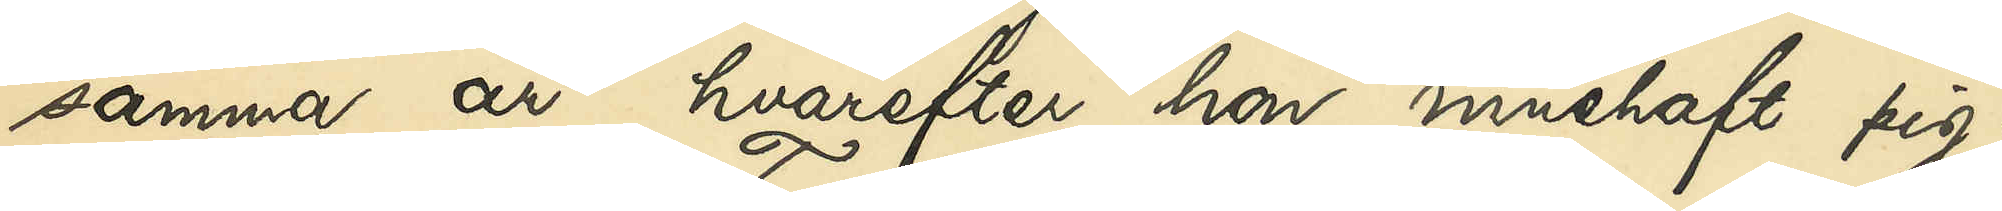samma år, hvarefter hon innehaft pig¬
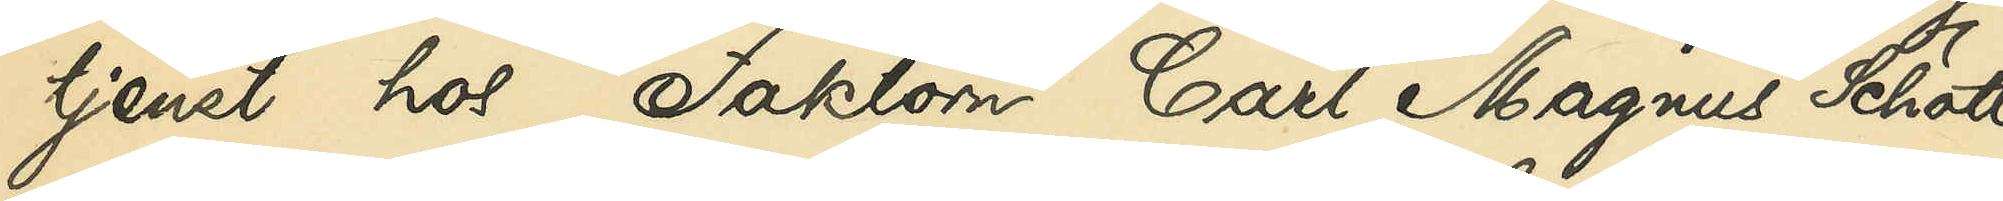tjenst hos Faktorn Carl Magnus Schött
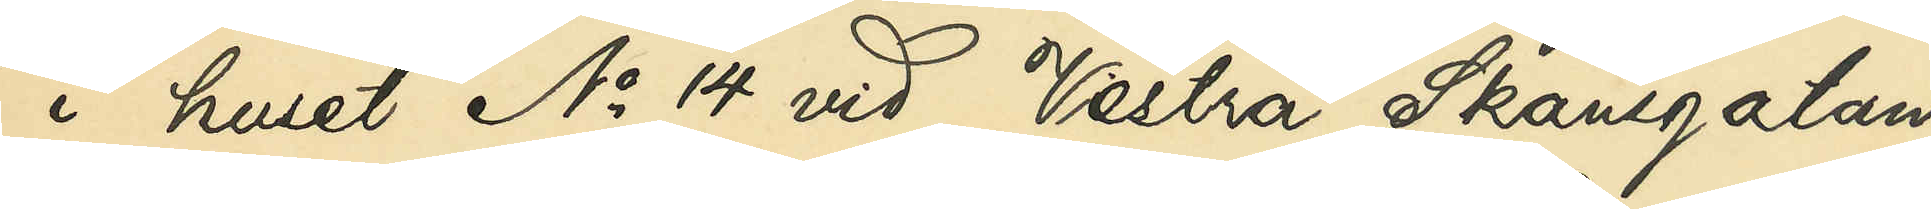i huset No 14 vid Vestra Skansgatan
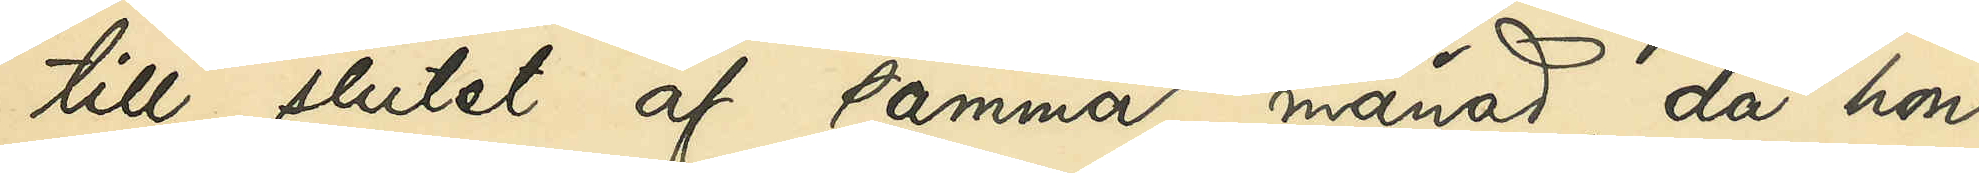till slutet af samma månad, då hon
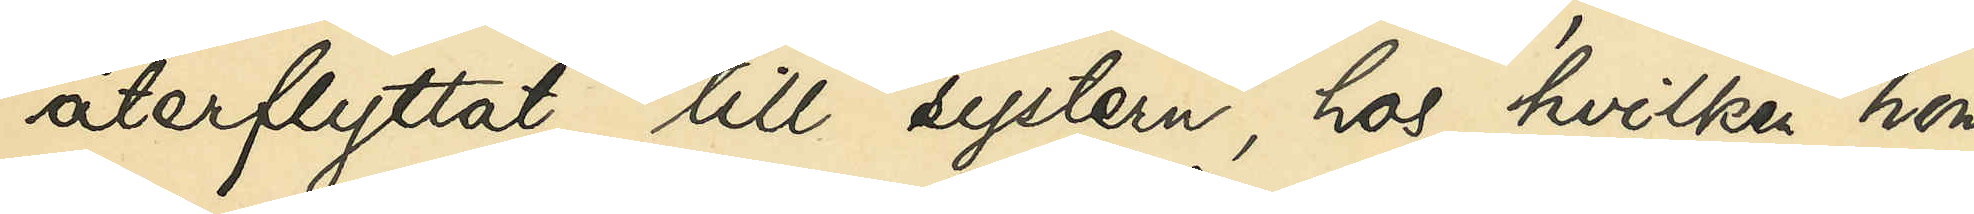återflyttat till systern, hos hvilken hon
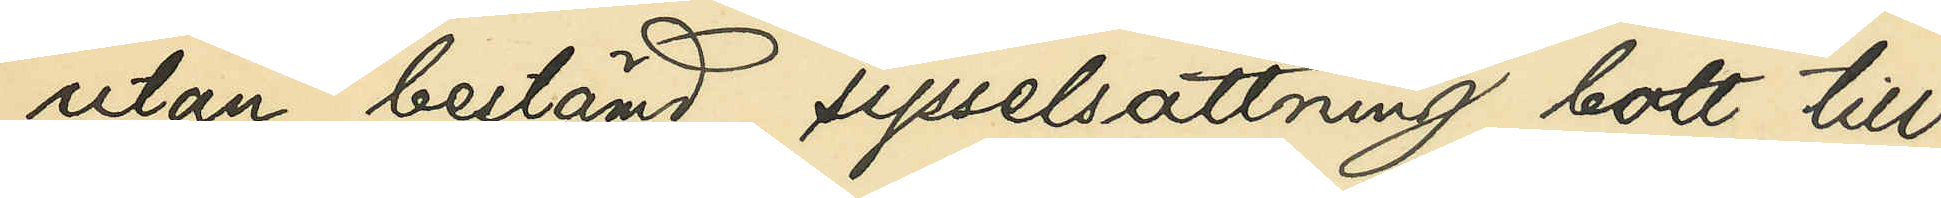utan bestämd sysselsättning bott till
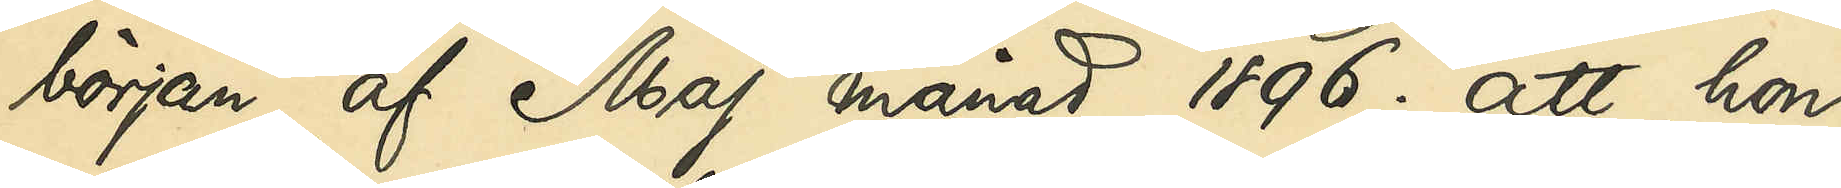början af Maj månad 1896; att hon
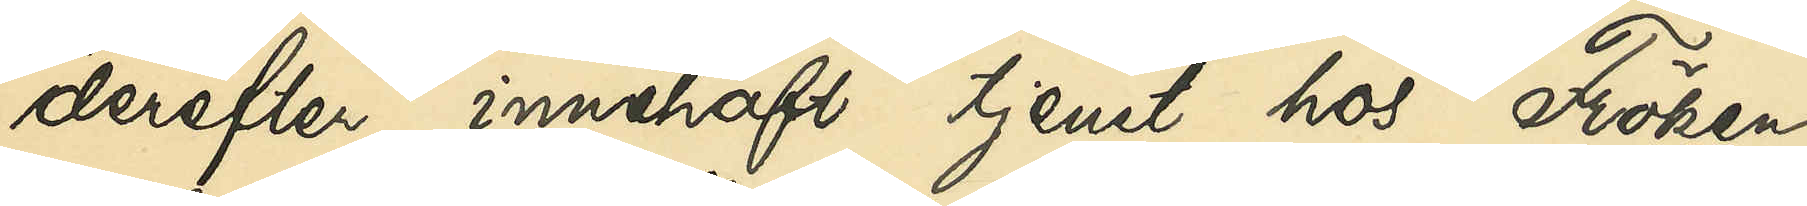derefter innehaft tjenst hos Fröken
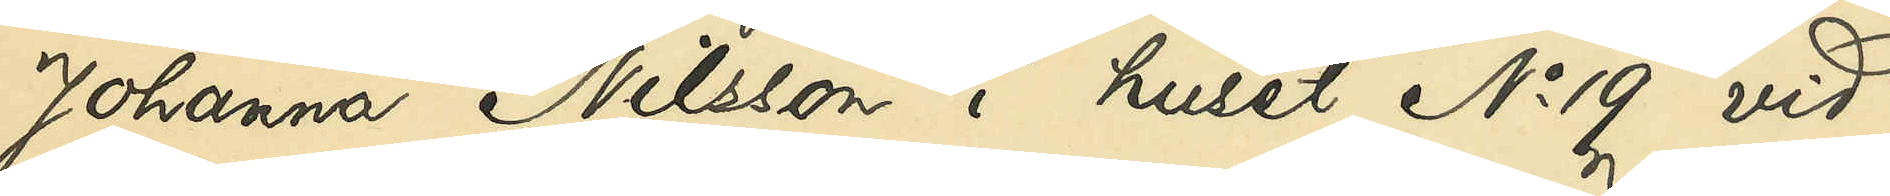Johanna Nilsson i huset No 19 vid
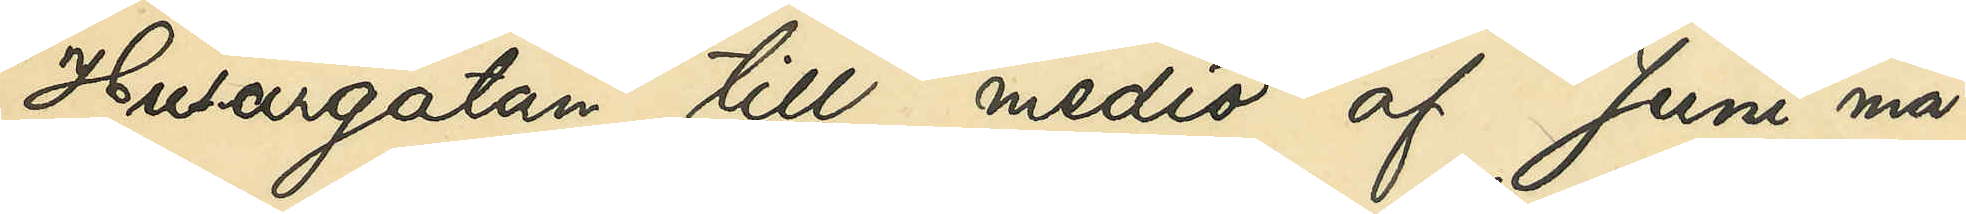Husargatan till medio af Juni må¬
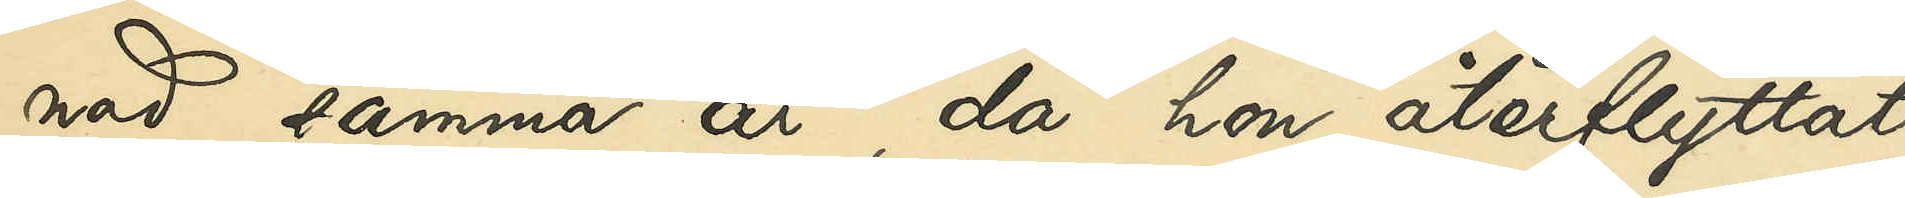nad samma år, då hon återflyttat
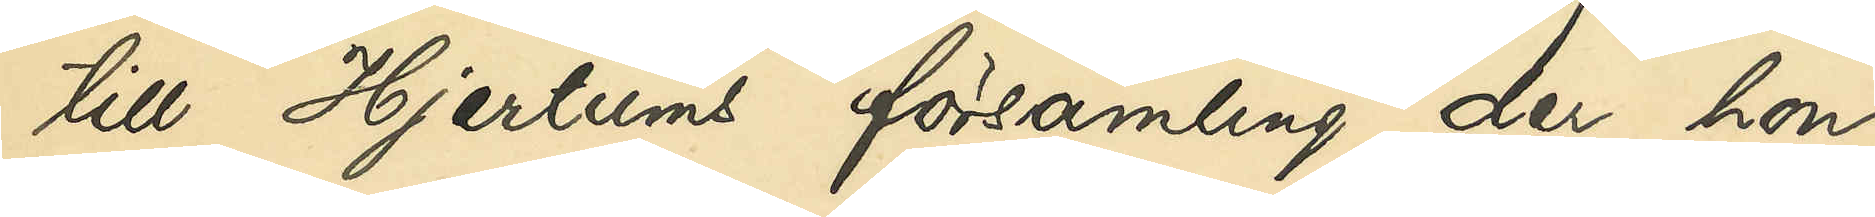till Hjertums församling, der hon
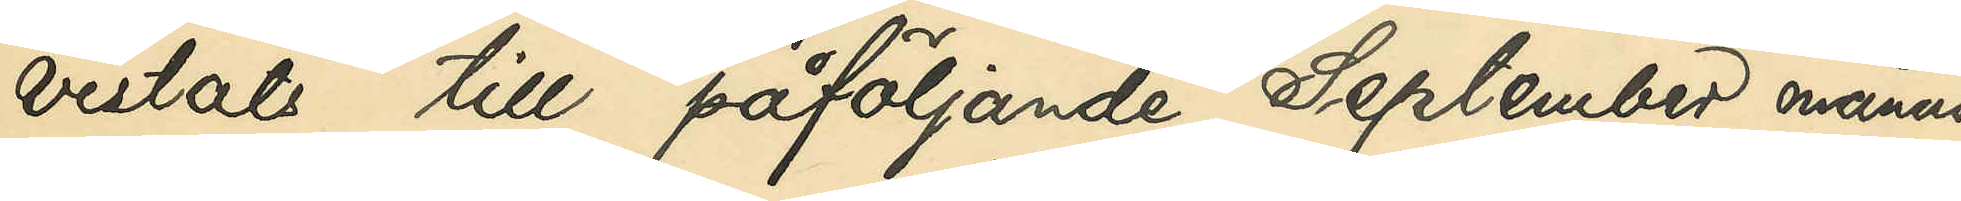vistats till påföljande September månad,
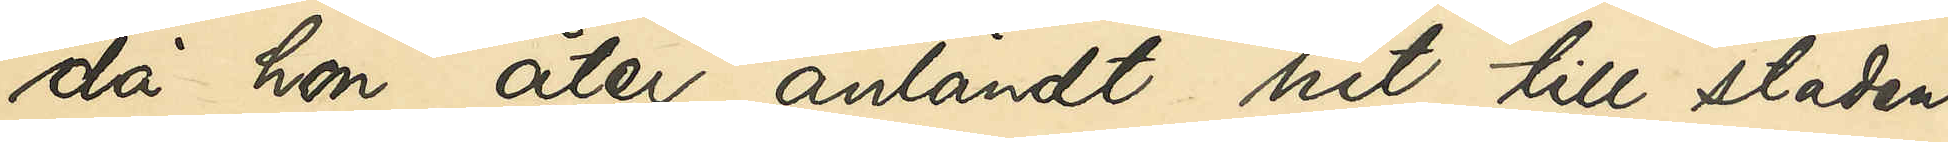då hon åter anländt hit till staden,
